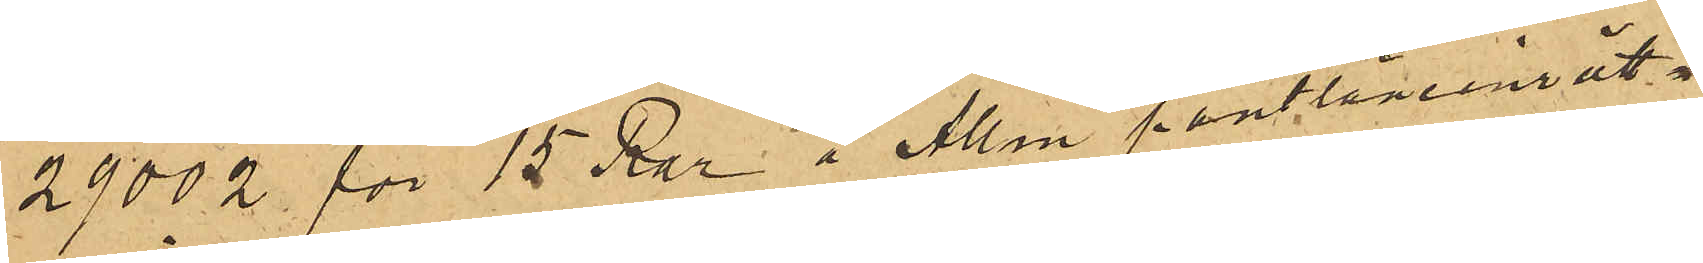29002 för 15 Rdr å Allm pantlånenrätt¬
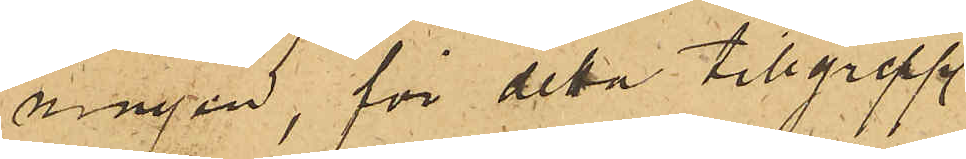ningen, för detta tillgrepp
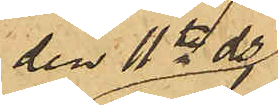den 11te ds
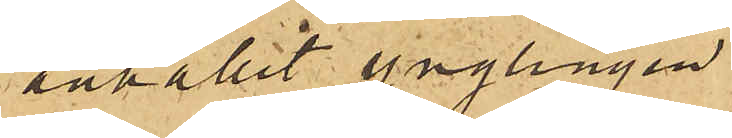anhållit ynglingen
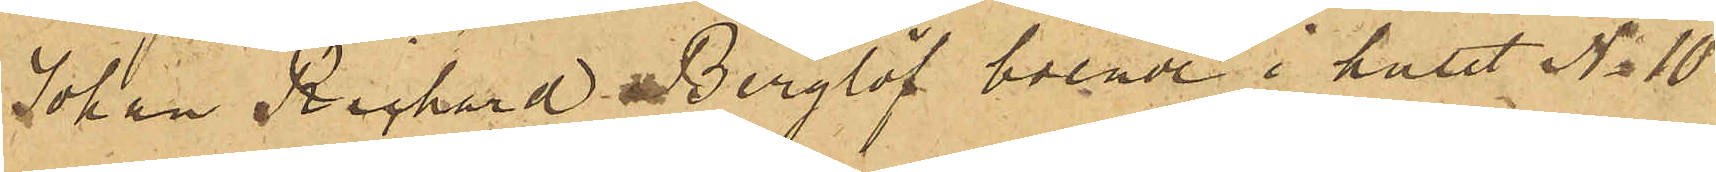Johan Richard Berglöf boende i huset No 10
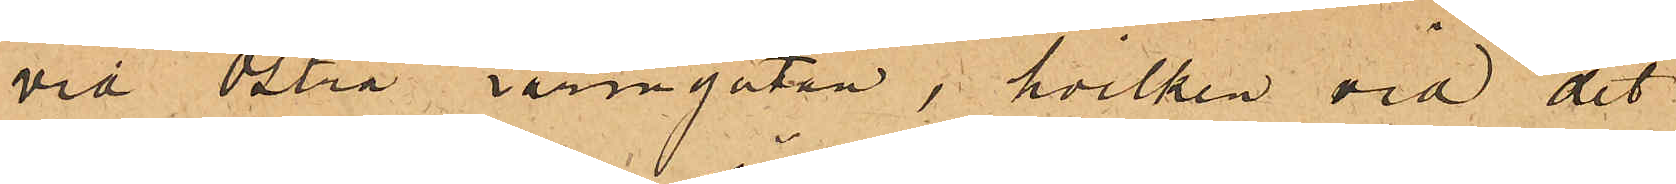vid Östra Larmgatan, hvilken vid det
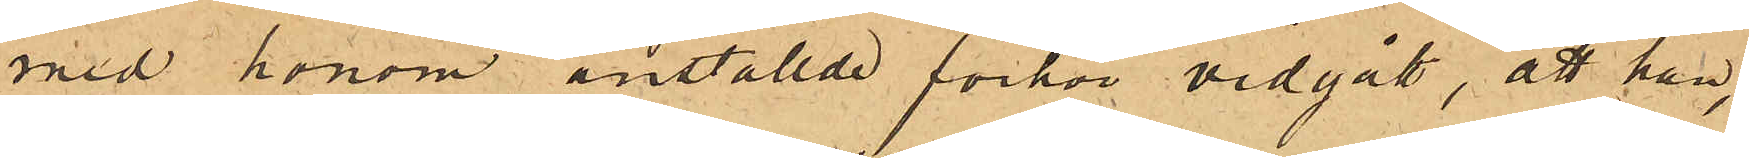med honom anställde förhör vidgått, att han,
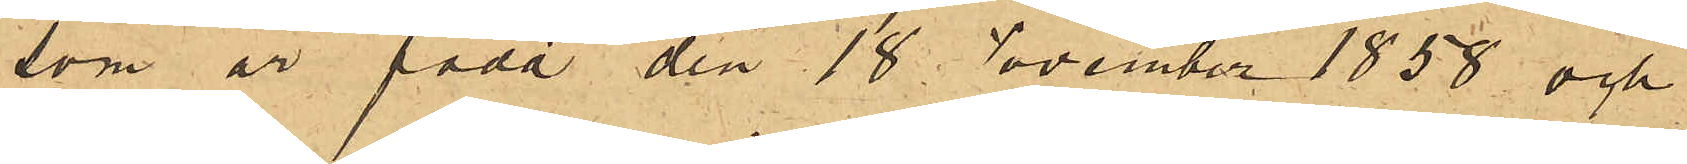som är född den 18 November 1858 och
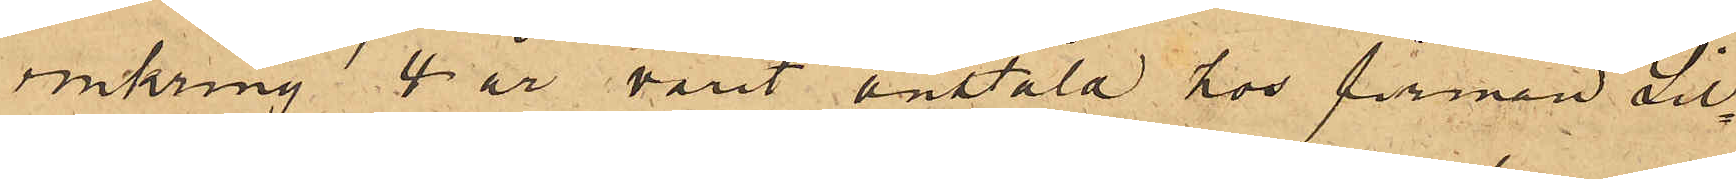omkring 4 år varit anstäld hos firman Sil¬
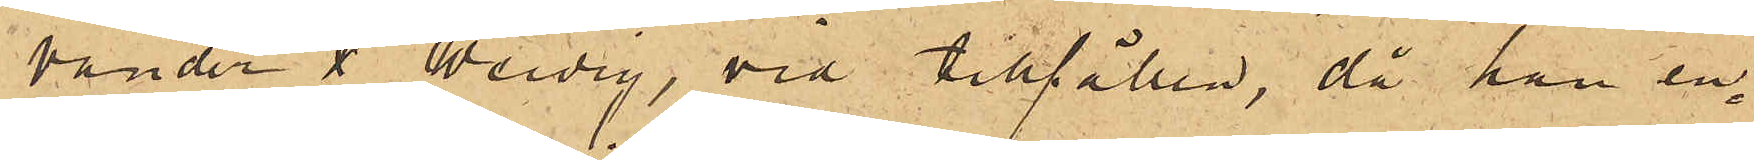vander & Weidig, vid tillfällen, då han en¬
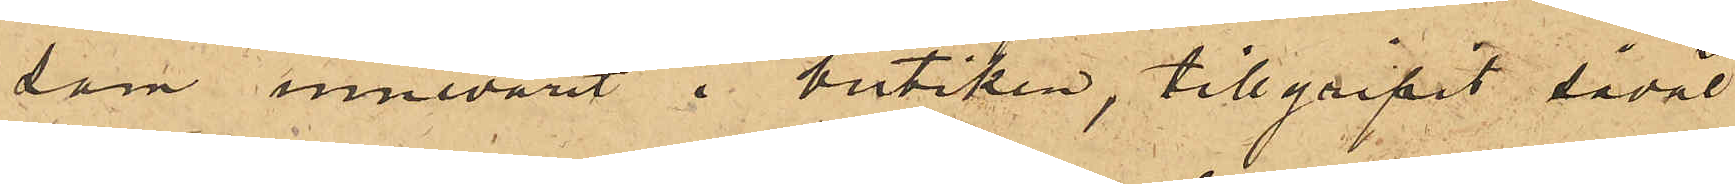sam innevarit i butiken, tillgripit såväl
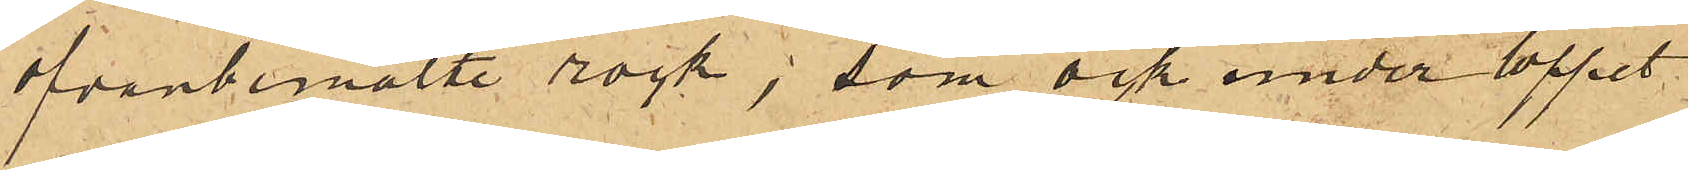ofvanbemälte rock, som ock under loppet
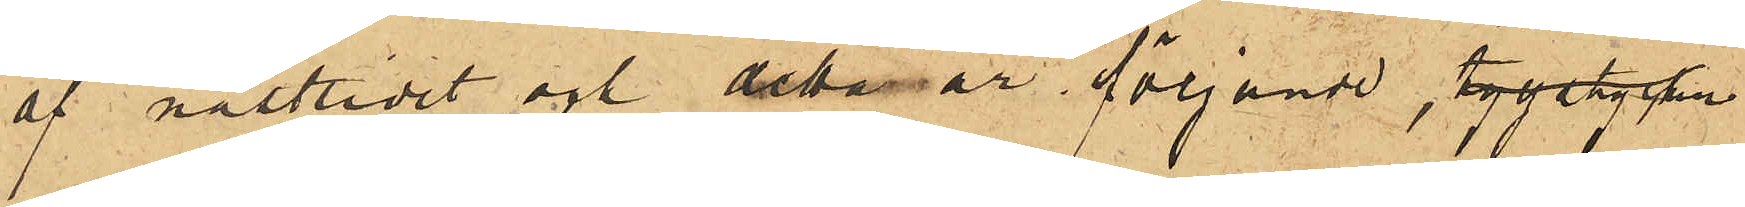af sistlidet och detta år följande, tygstycken
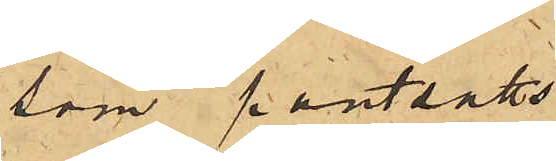som pantsatts
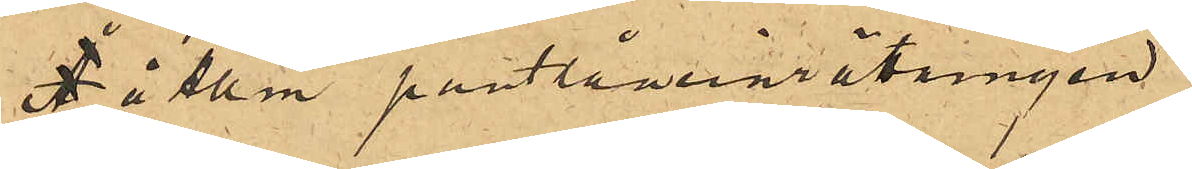å Allm pantlåneinrättningen:
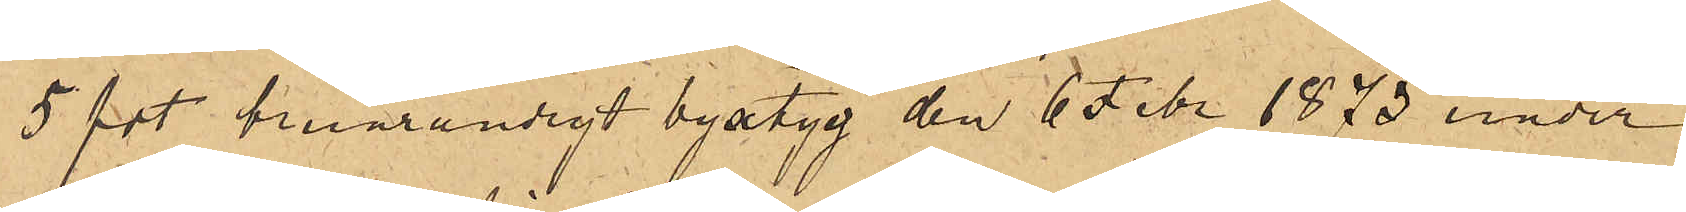5 fot brunrandigt byxtyg den 6 Febr 1873 under
